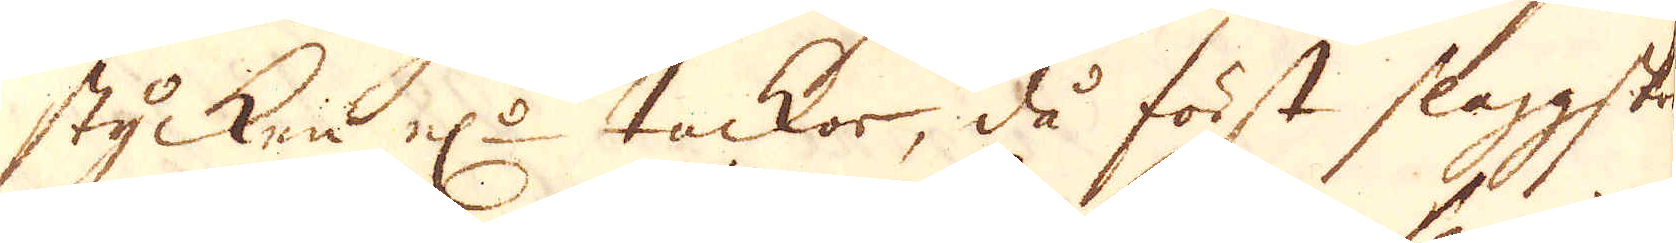stycken el:r tackor, då först slaggstum-
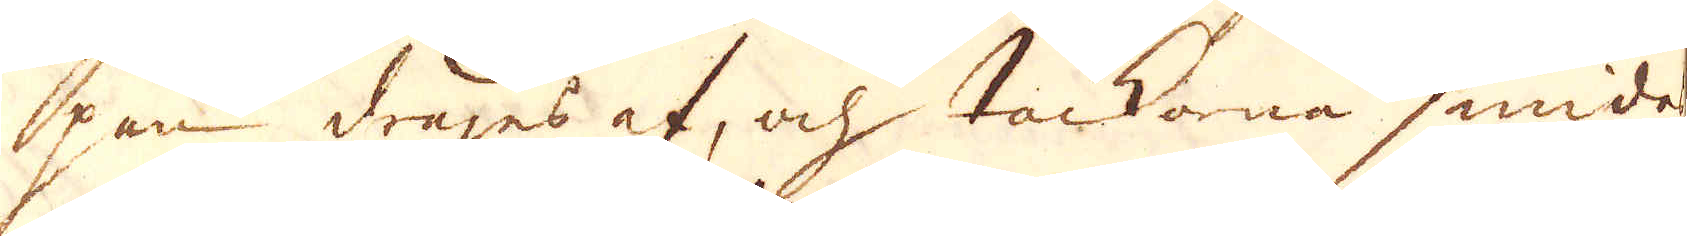pen drages af, och tackorna smides
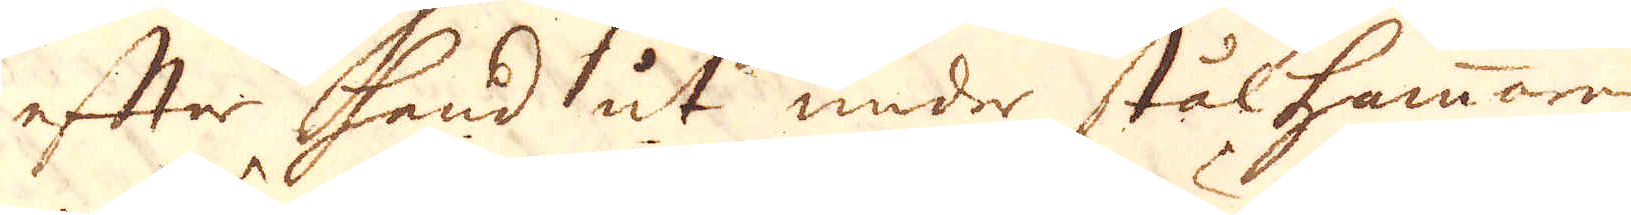efter hand ut under stålhammaren
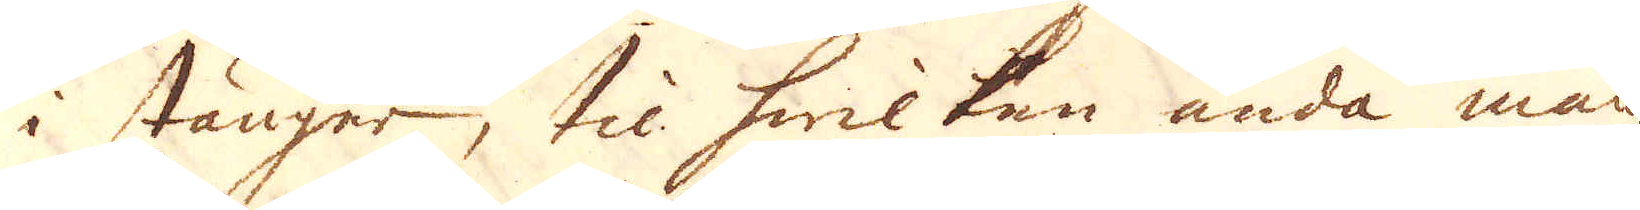i stänger, til hwilken ända man
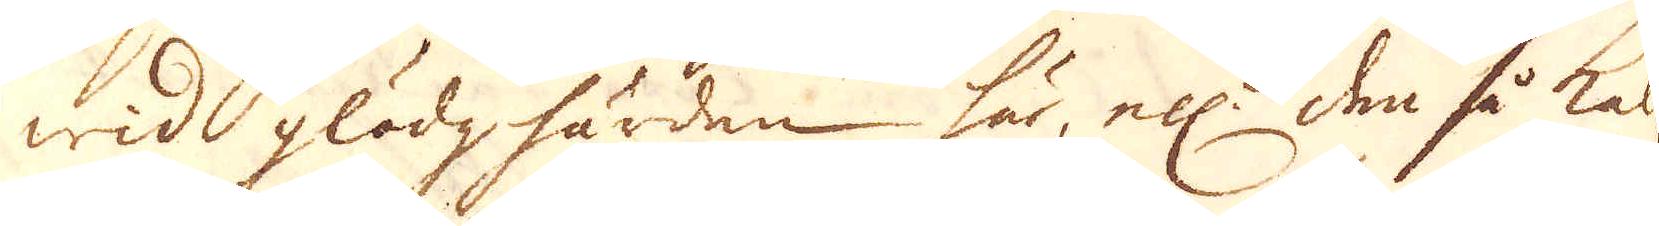wid glödghärden här, ell:r den så kal-
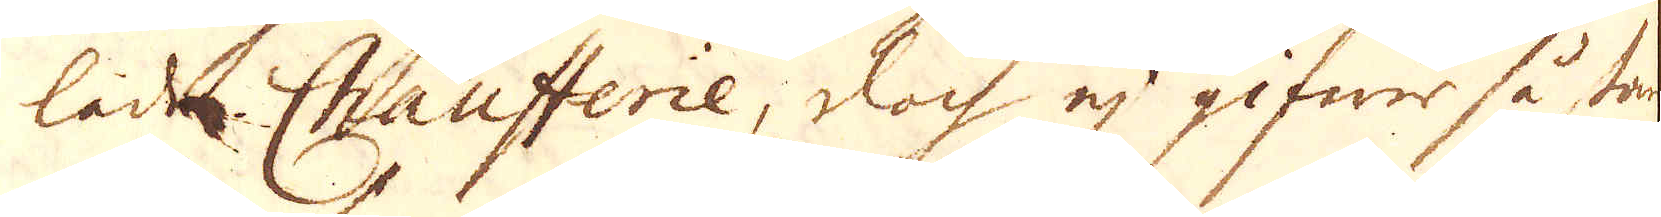lad Chaufferie, doch ej gifwer så stark
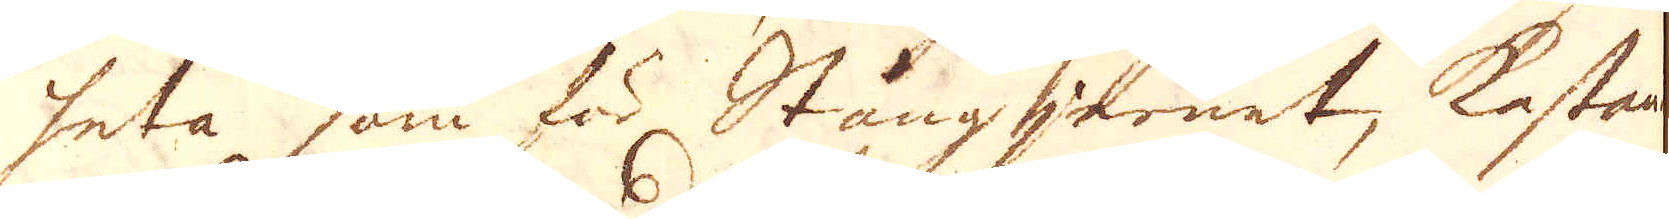heta som för Stångjernet, kastande
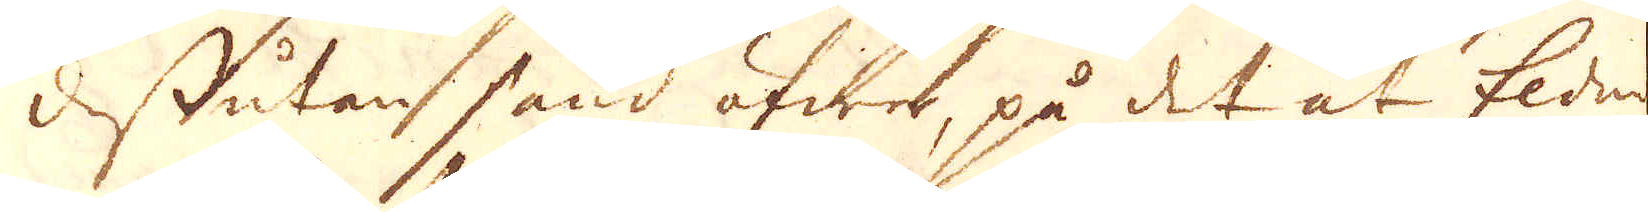dessutan sand öfwer, på det at Elden
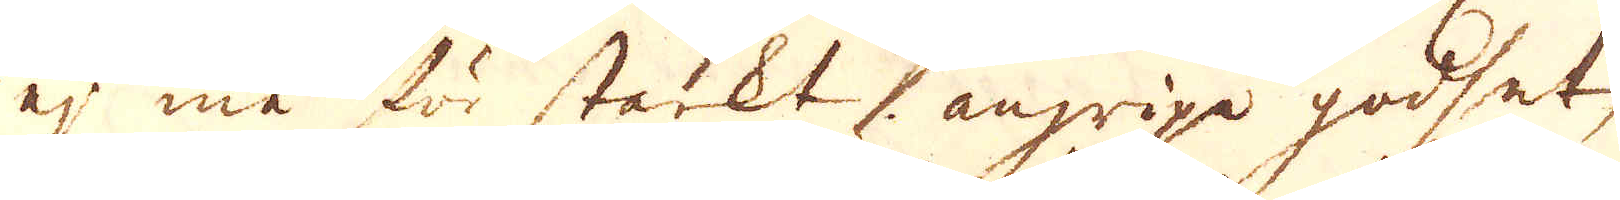ej må för starkt angripa godset,
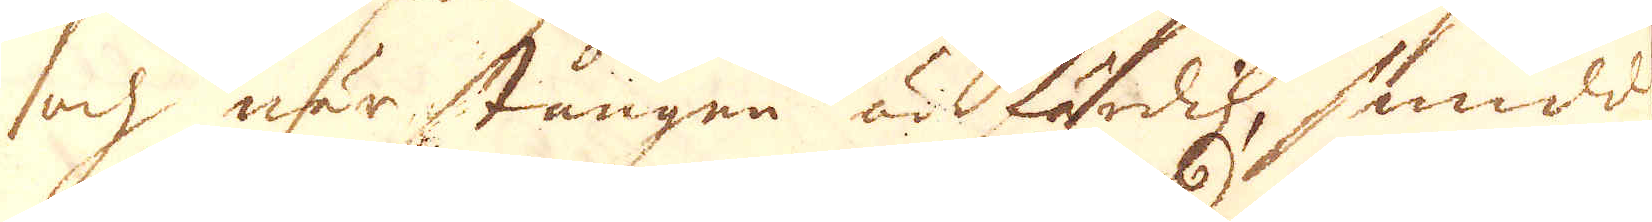och när stången är färdig, smidd
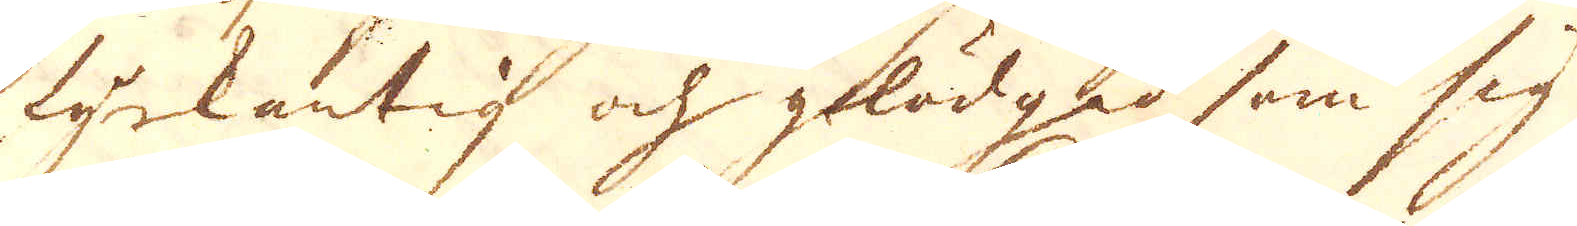fyrkantig och glödgad som sig
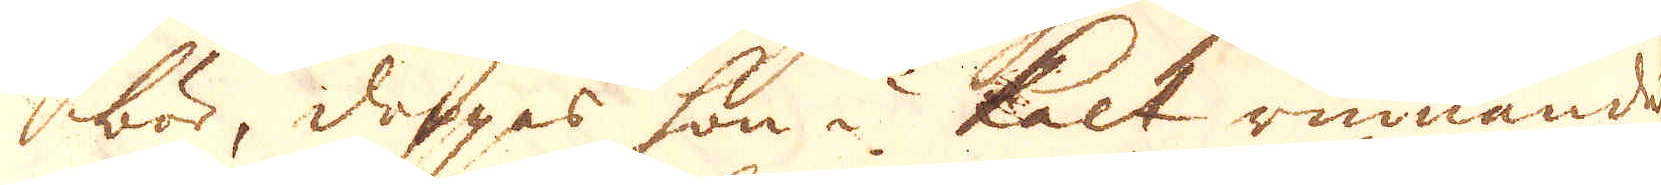bör, doppas hon i kalt rinnande
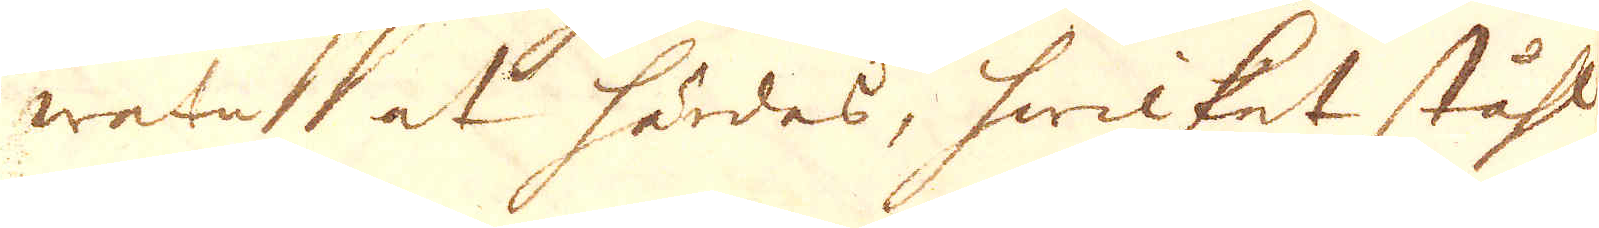watn at härdas, hwilket ståhl
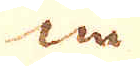nu.
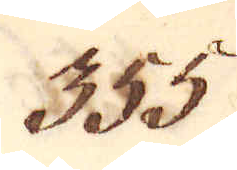355.
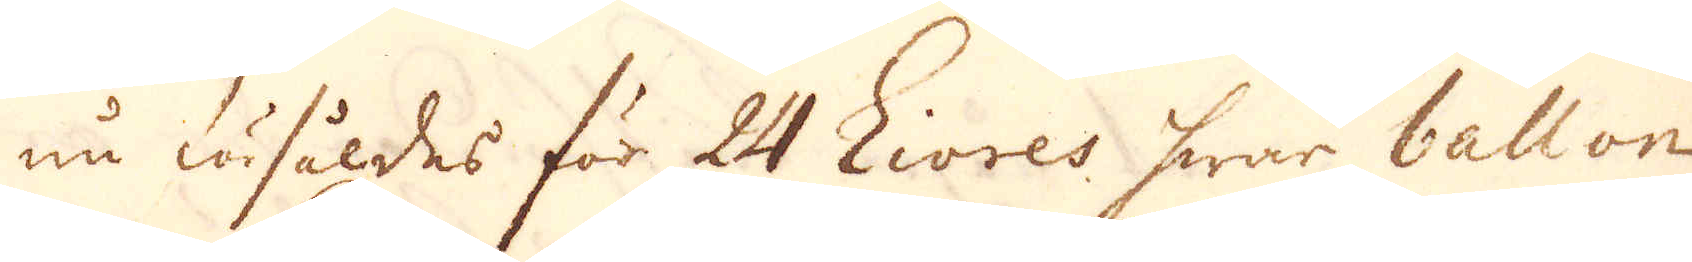nu försåldes för 24 Livres hwar ballon
